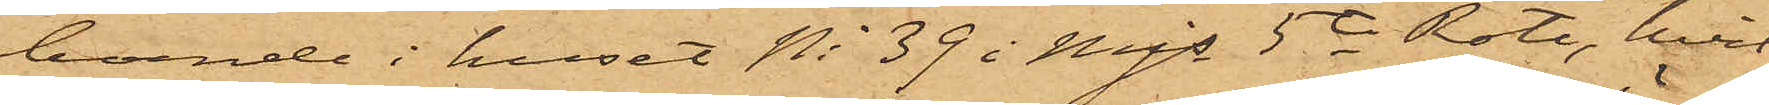boende i huset No 39 i Mjs 5te Rote, hvil¬
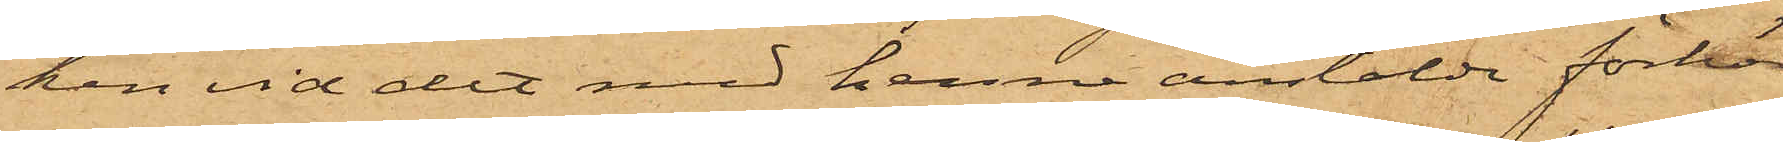ken vid det med henne anstälde förhör
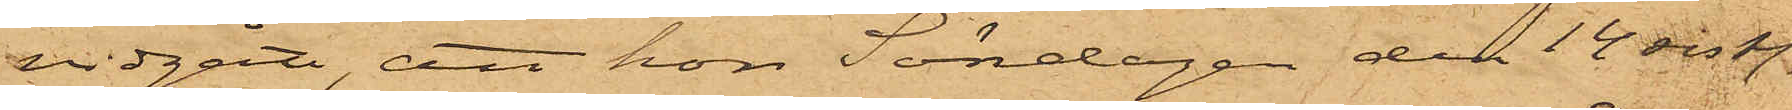vidgått, att hon Söndagen den 14 sist.
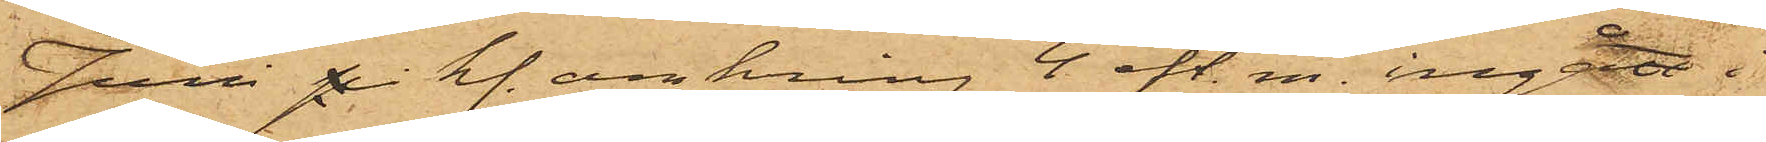Juni på kl. omkring 4 eft.m. ingått i
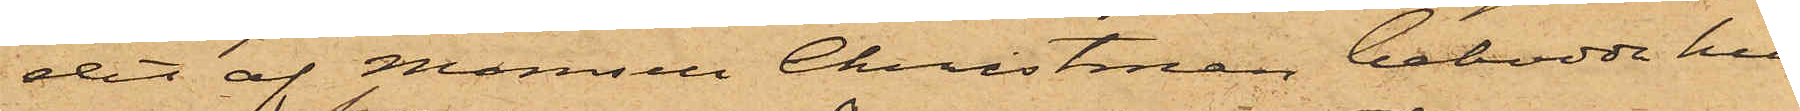det af Mamsell Christman bebodde hus
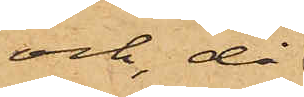och, då
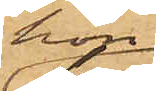hon
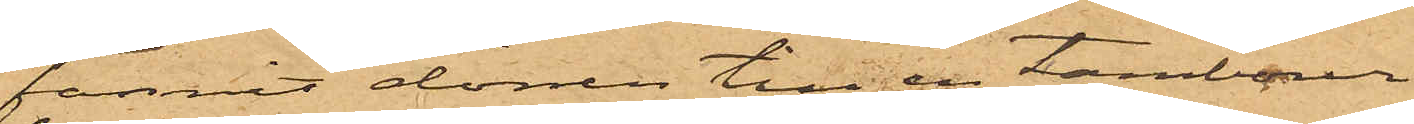funnit dörren till en tambour
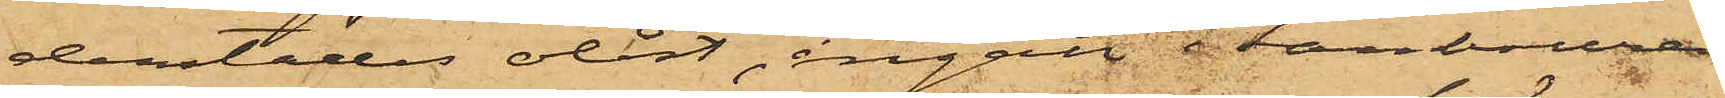derstädes olåst, ingått i tambouren
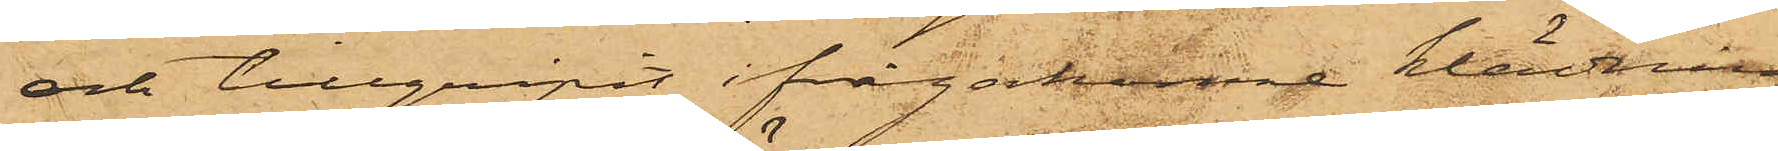och tillgripit ifrågakomne klädning
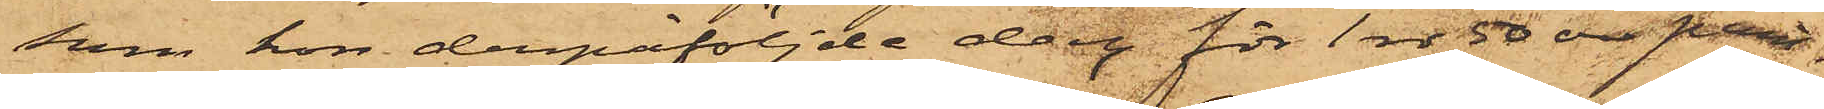som hon derpåföljde dag för 1 rdr 50 öre pant¬
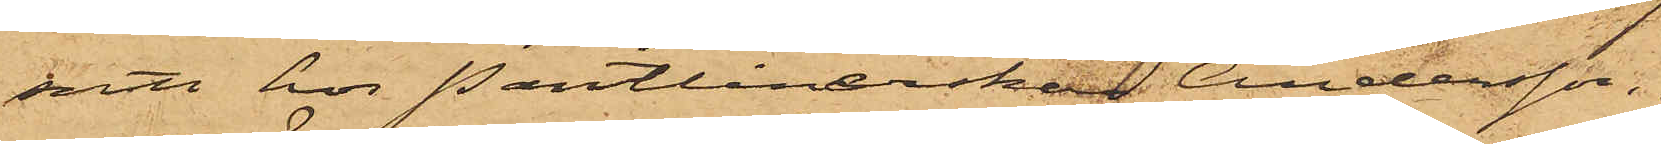satt hos Pantlånerskan Andersson.
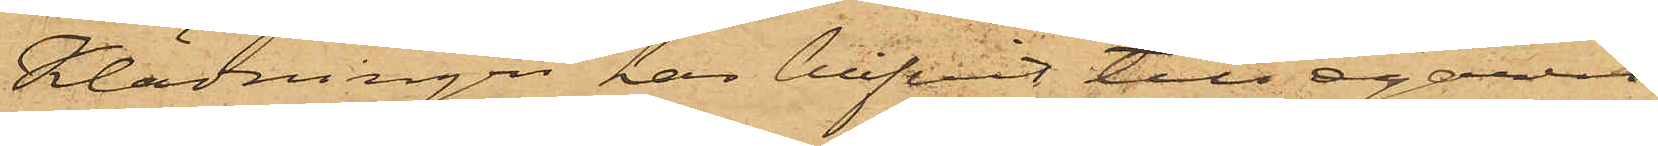Klädningen har blifvit till egaren
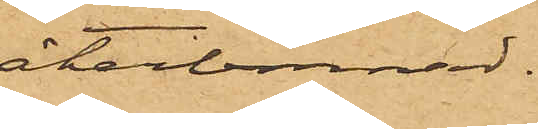återlemnad.
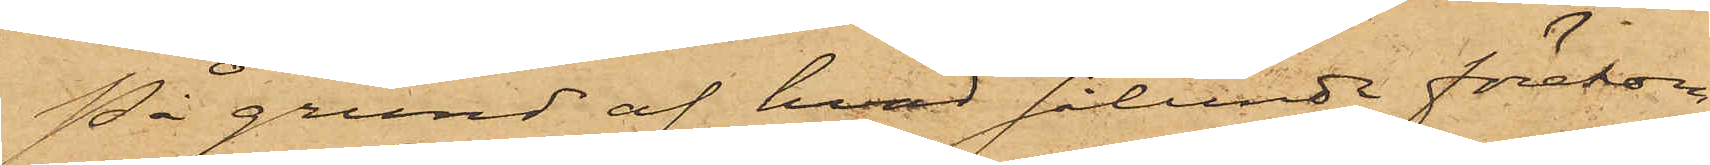På grund af hvad sålunda förekom¬
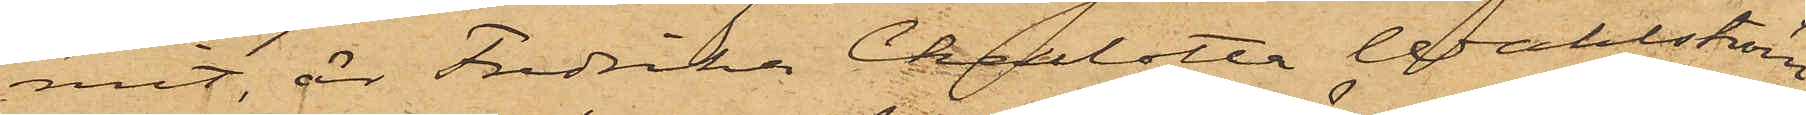mit, är Fredrika Charlotta Wahlström
